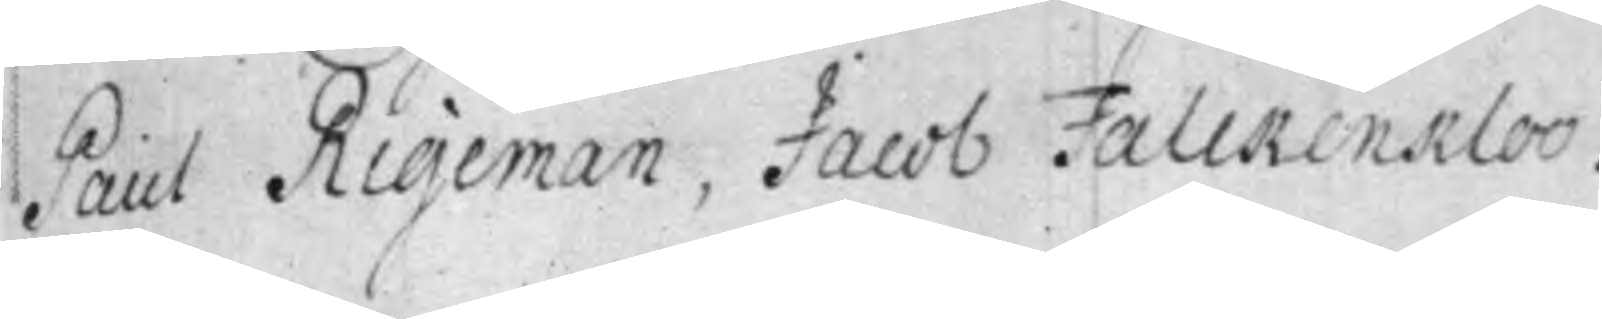Paul Rigeman, Jacob Falckenkloo.
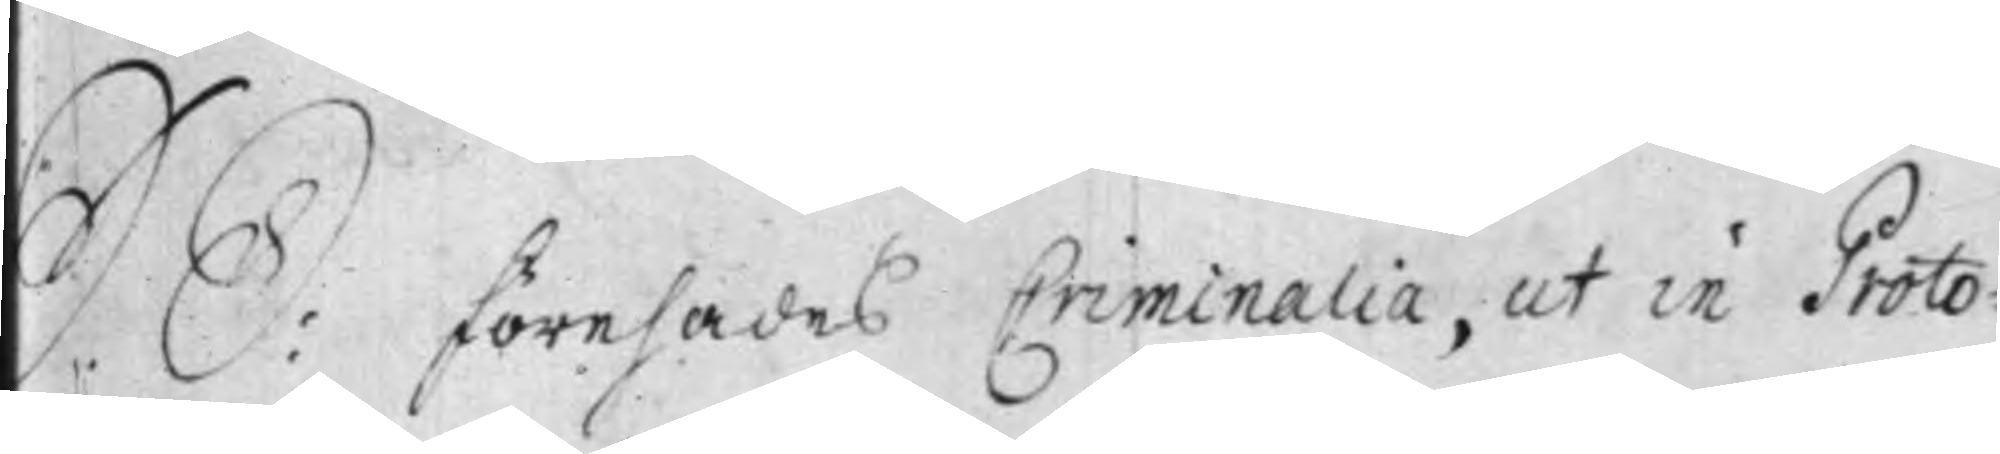S. D: Förehades Criminalia, ut in Proto¬
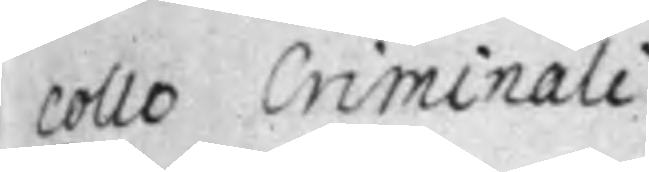collo Criminali.
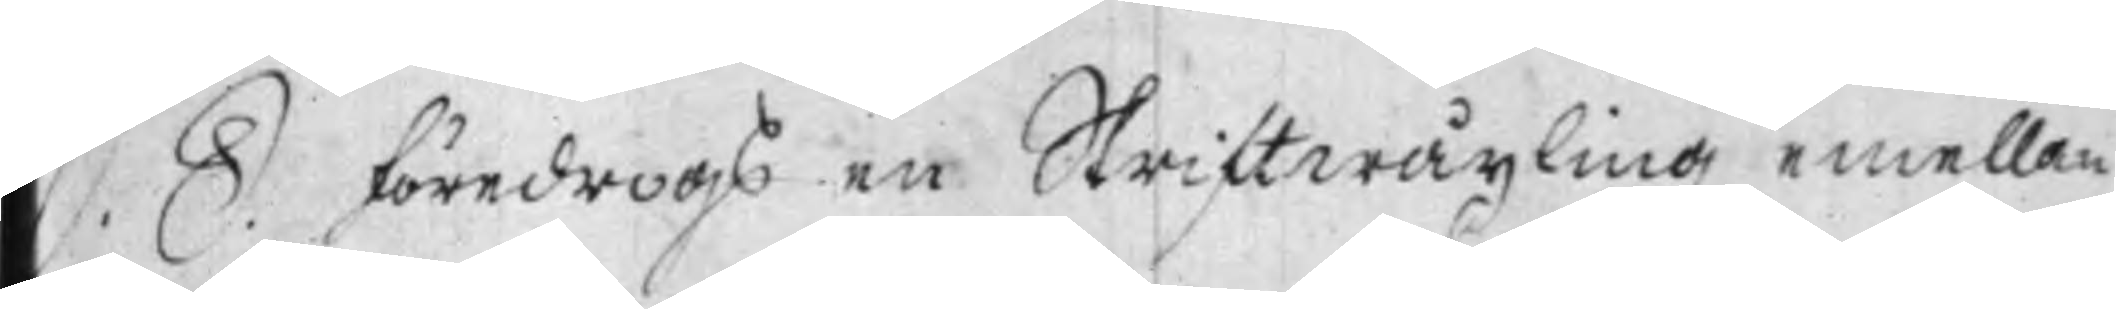S. D. Föredrogs en Skriftwäxling emellan
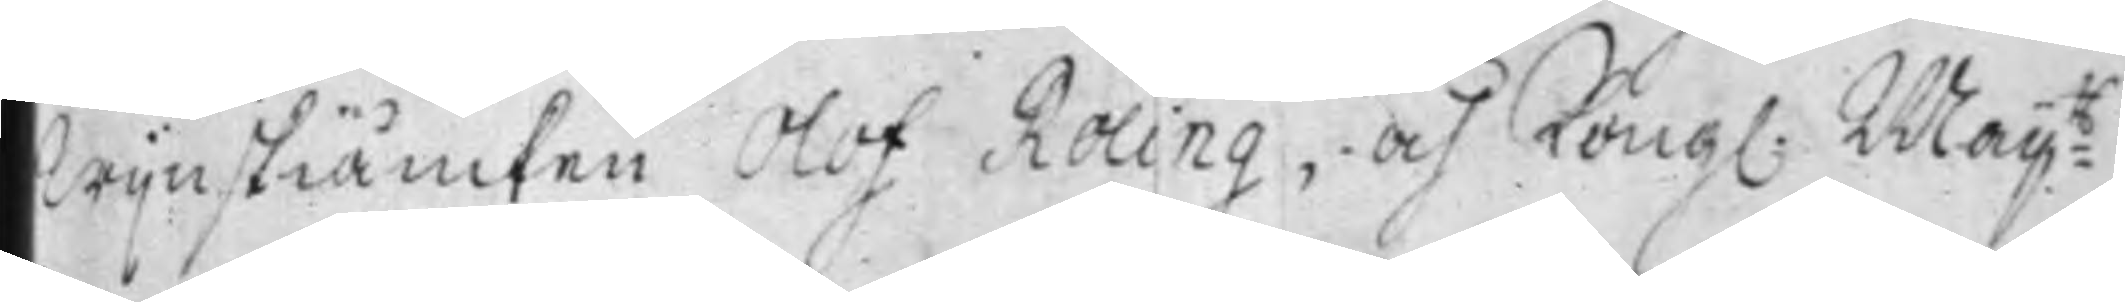Wijnskiäncken Olof Roling och Kong: May:ts
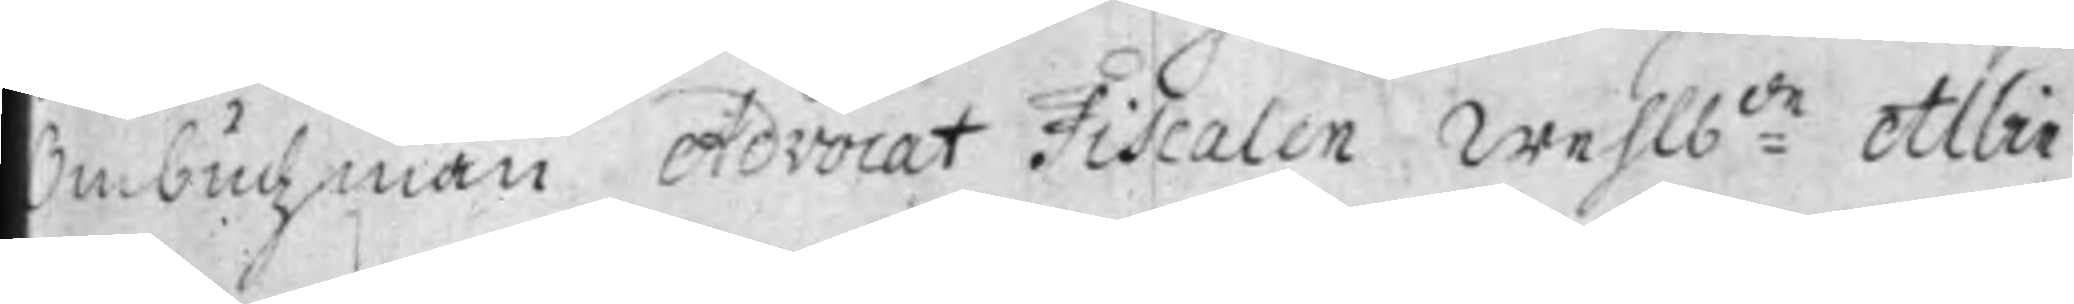Ombudzman Advocat Fiscalen Wehlb:de Albin
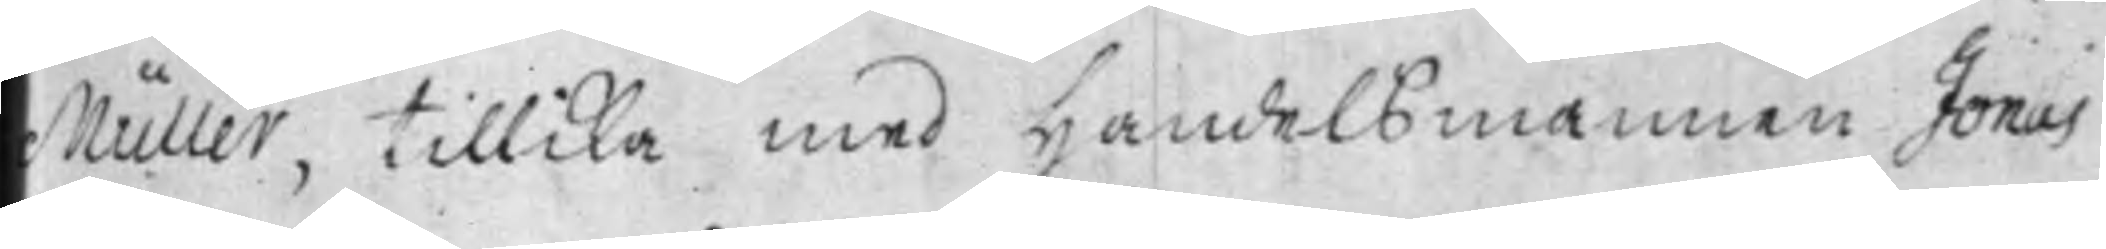Müller, tillika med Handels mannen Jonas
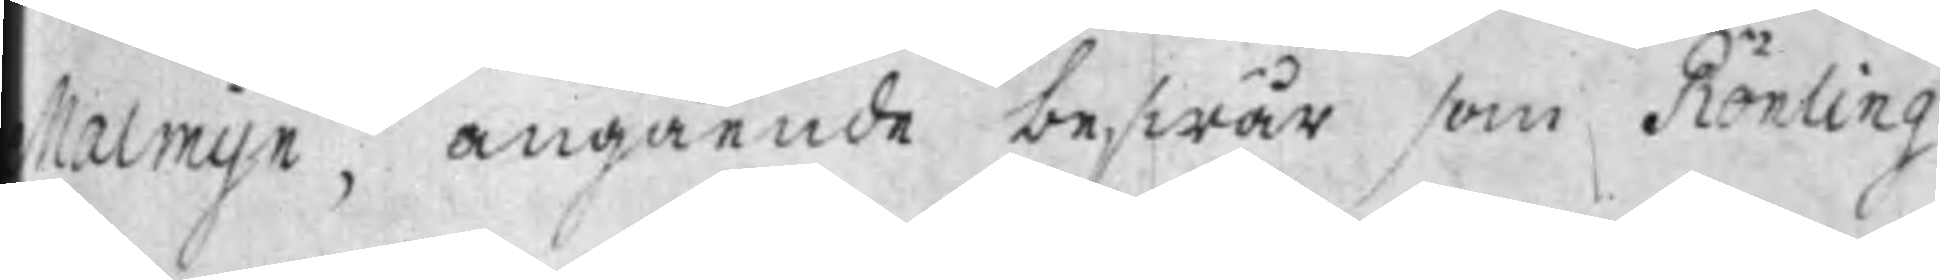Malmijn, angående beswär som Rönling
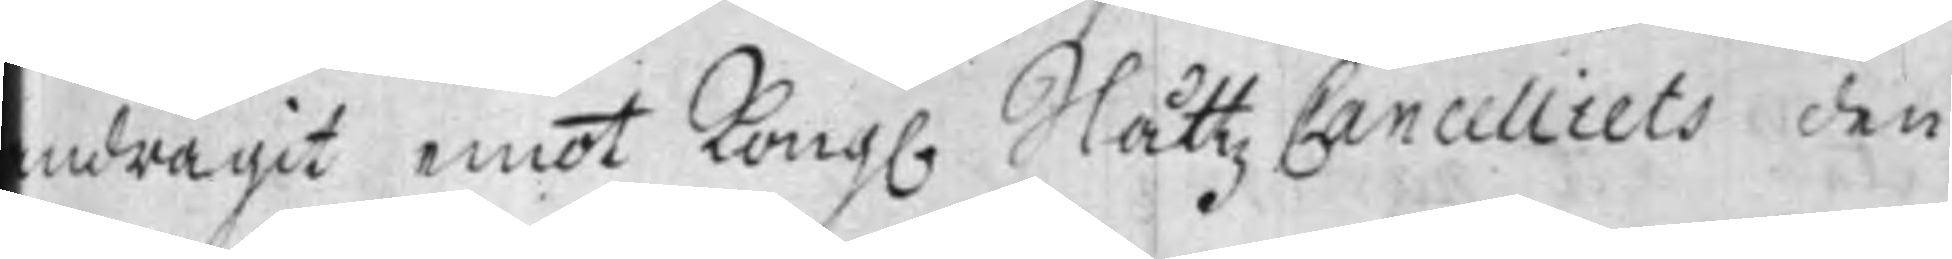ndragit emot Kong. Slåttz Cancelliets den
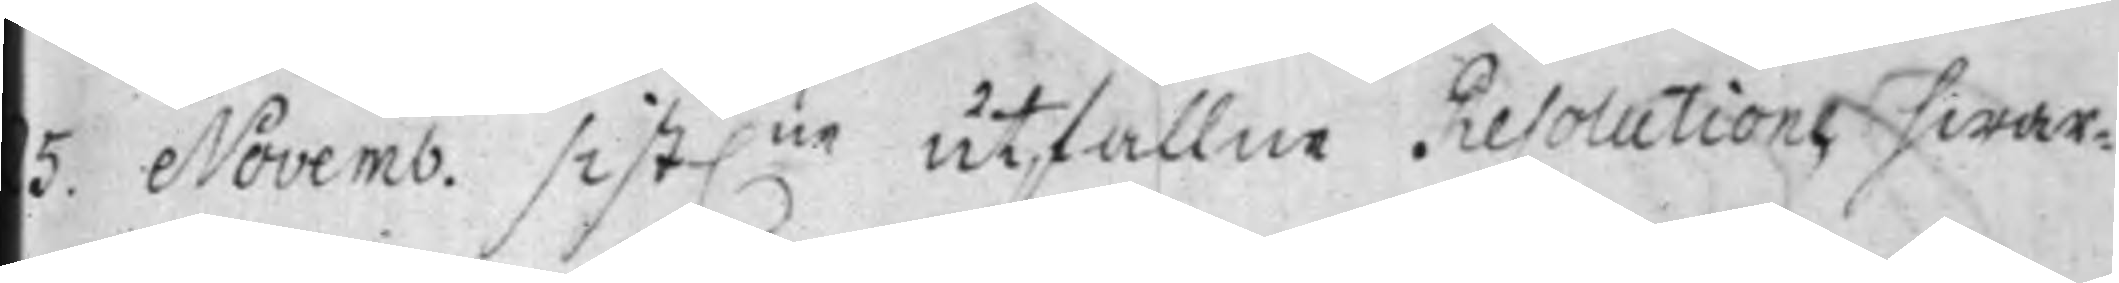5. Novemb. sist:ne utfallne Resolution, hwar¬
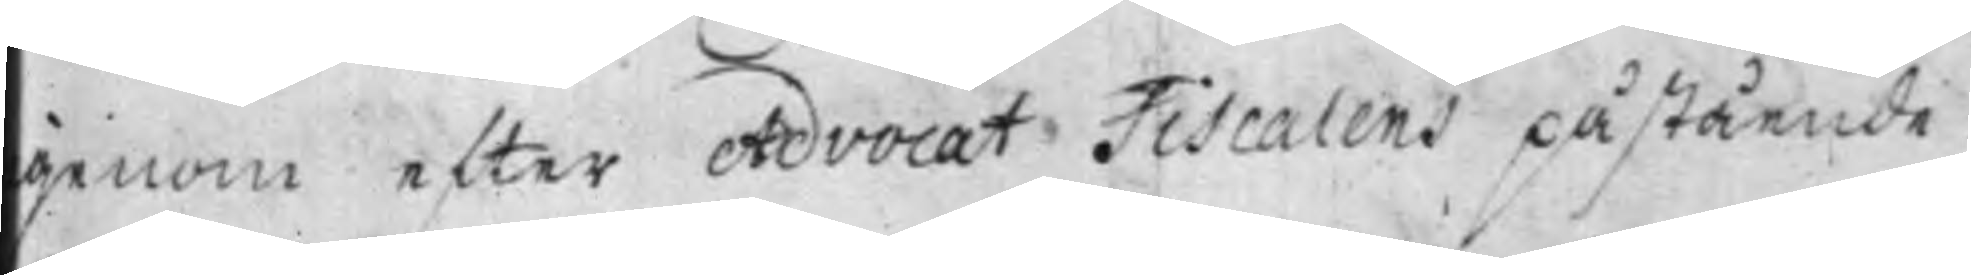genom efter Advocat Fiscalens påstående,
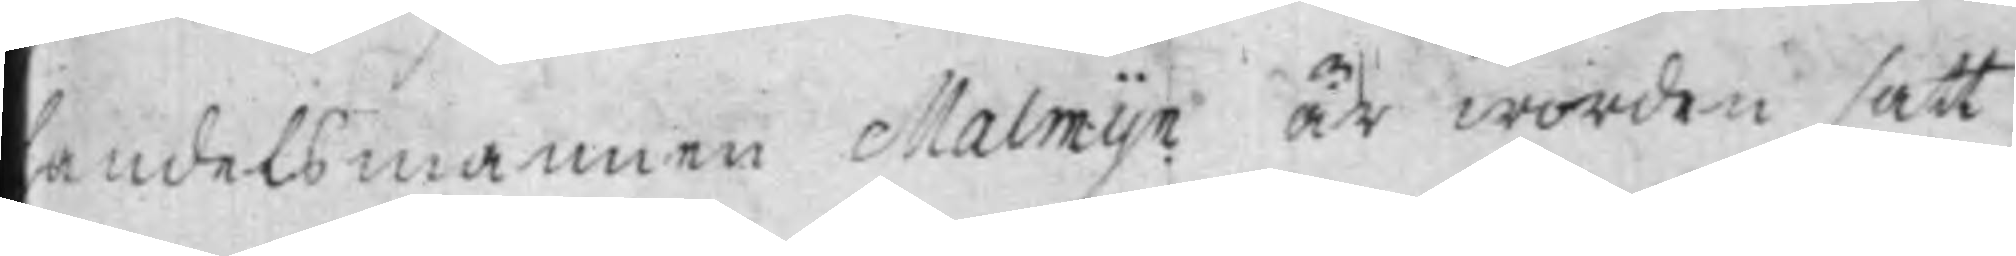andelsmannen Malmijn är worden satt
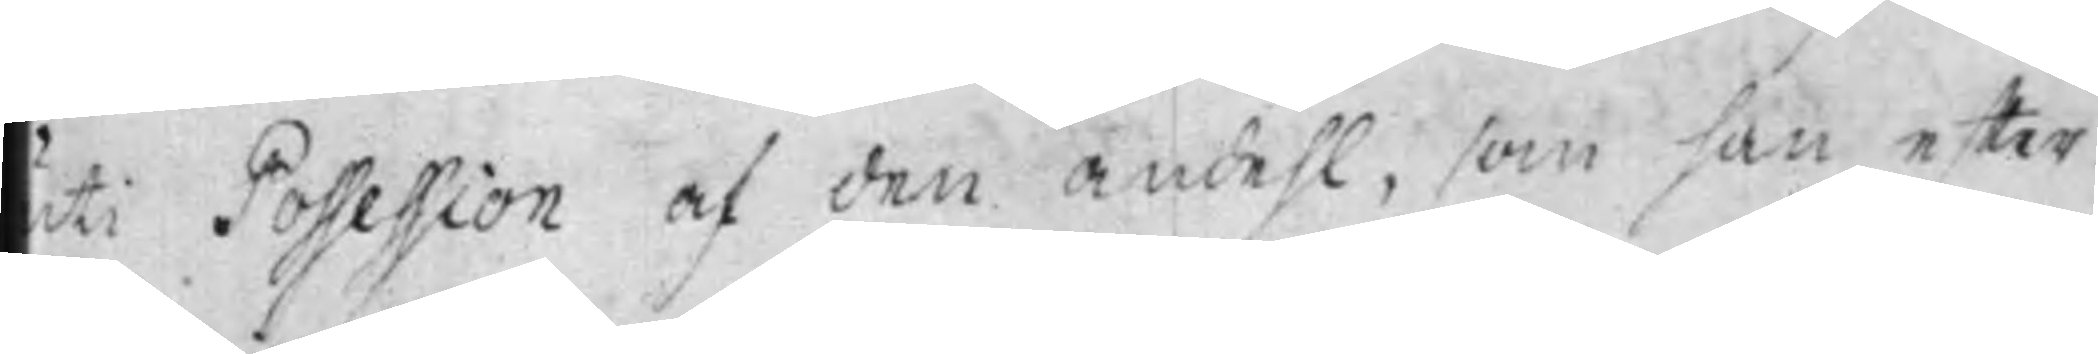uti Possession af den andehl, som han efter
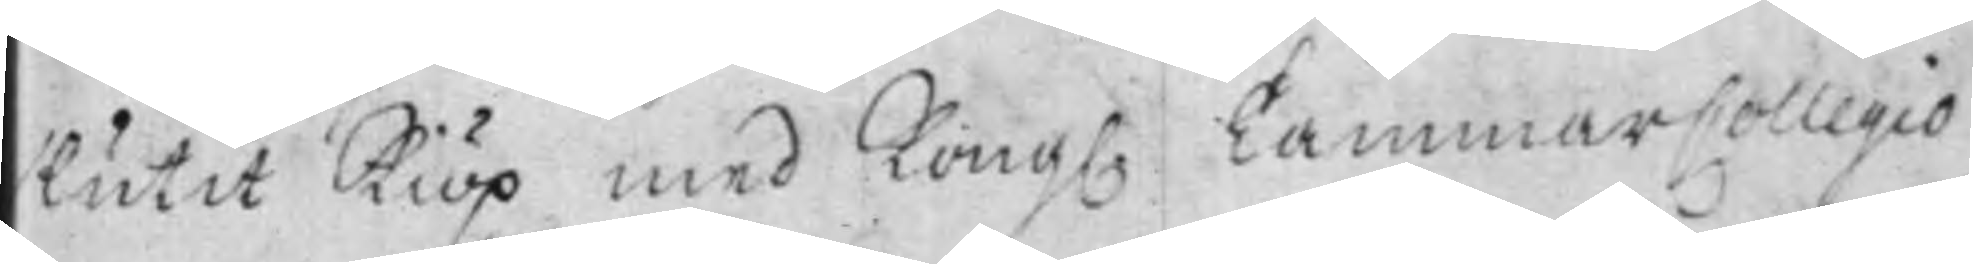lutit Kiöp med Kong. CammarCollegio
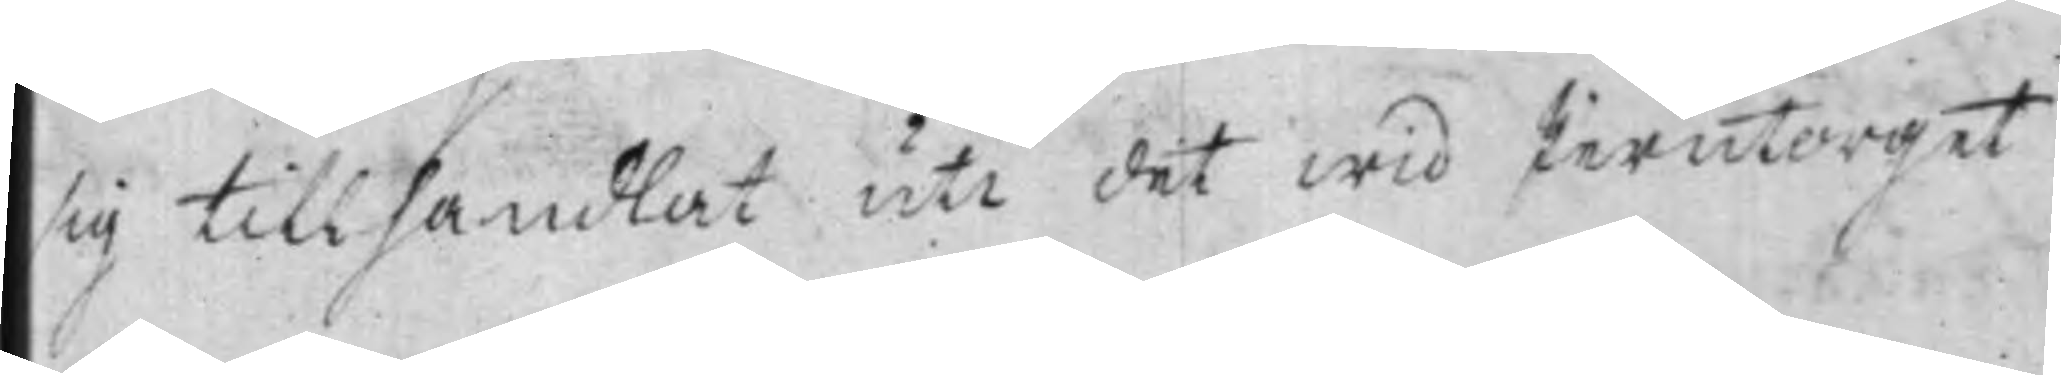sig tillhandlat uti det wid Jerntorget
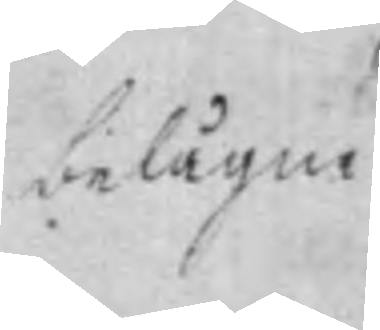belägne
